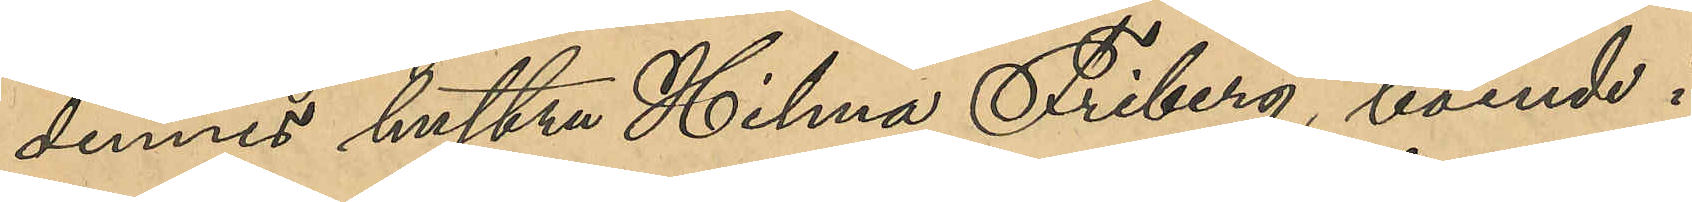dennes hustru Hilma Friberg, boende i
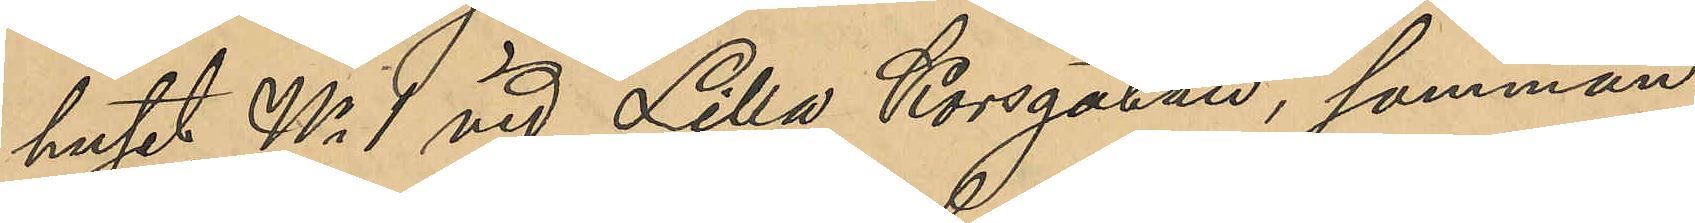huset No 1 vid Lilla Korsgatan, samman¬
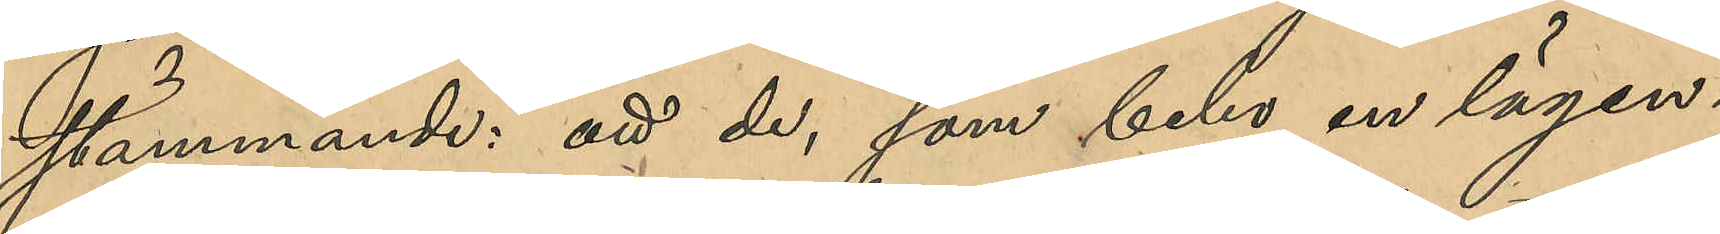stämmande: att de, som bebo en lägen¬
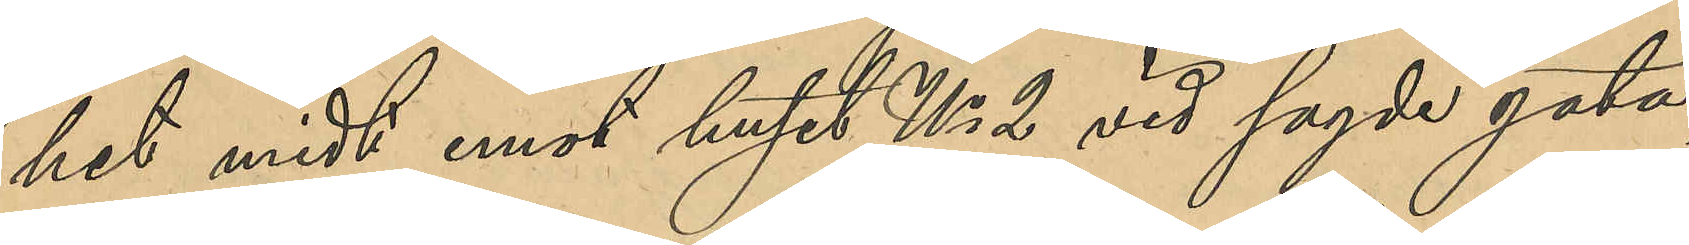het midt emot huset No 2 vid sagde gata,
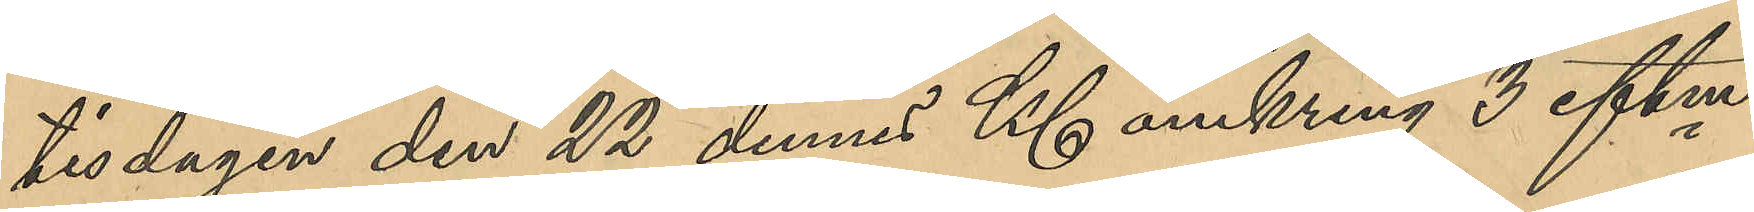tisdagen den 22 dennes Kl omkring 3 eftm
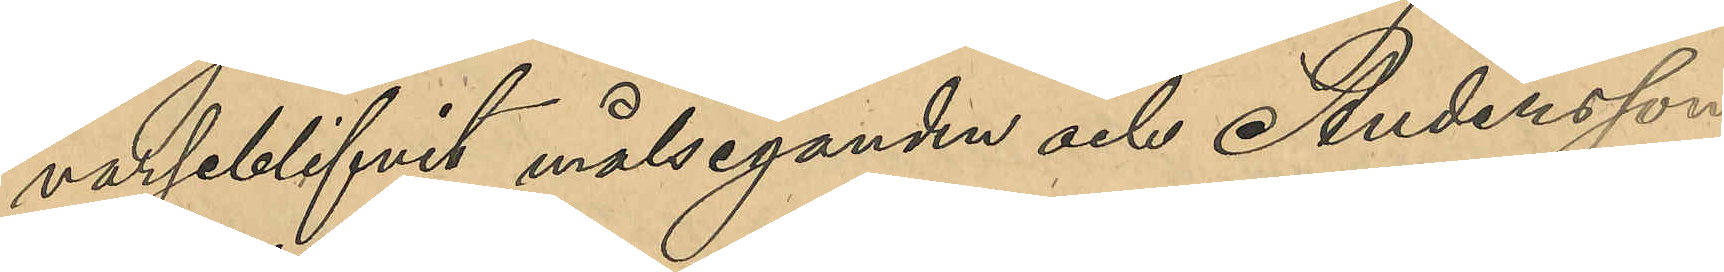varseblifvit målseganden och Andersson
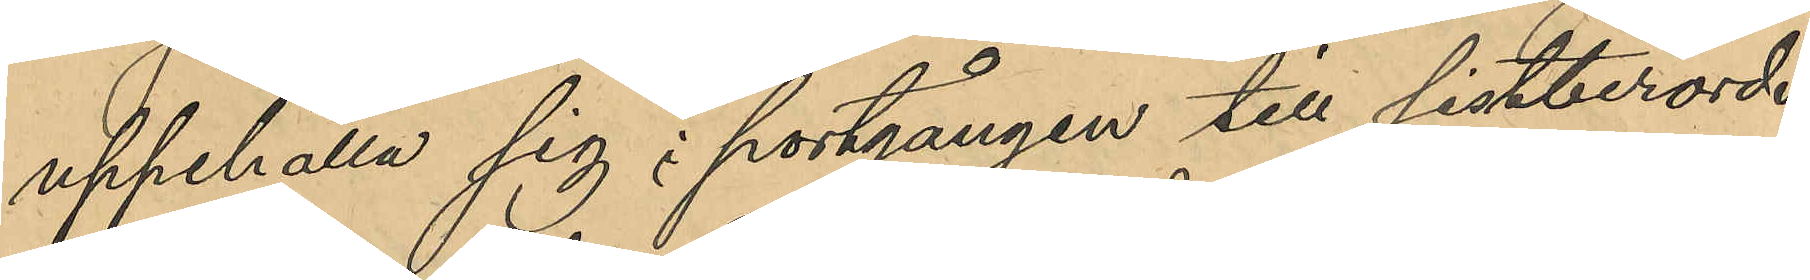uppehålla sig i portgången till sistberörde
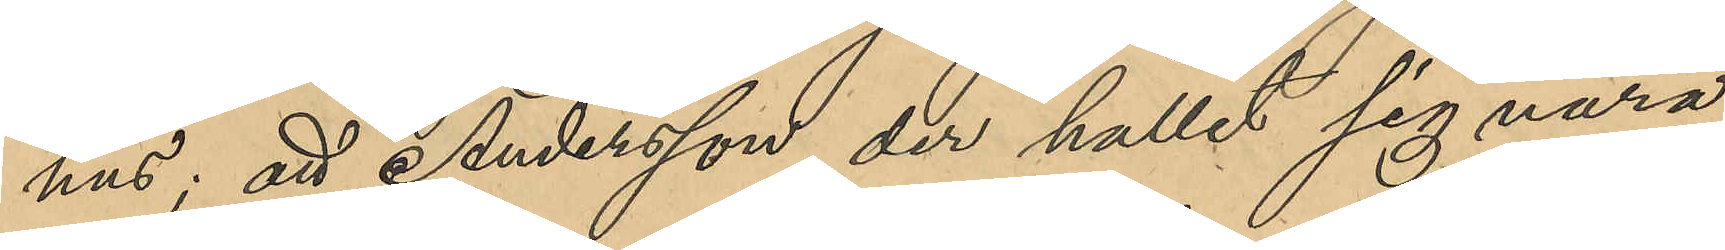hus; att Andersson der hållit sig nära
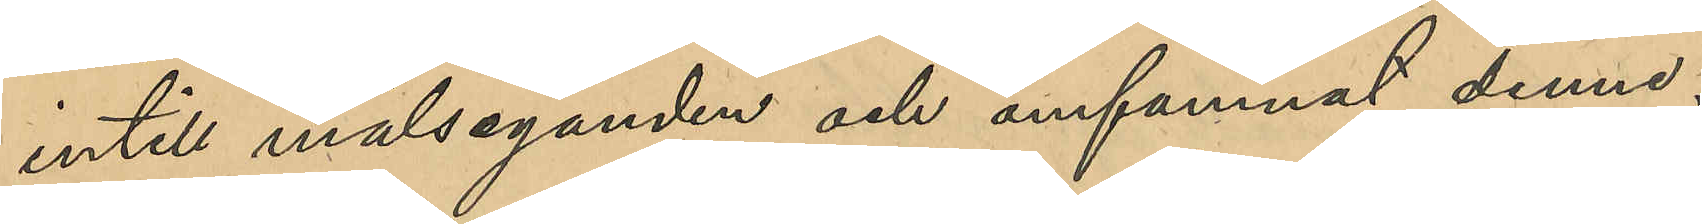intill målseganden och omfamnat denne;
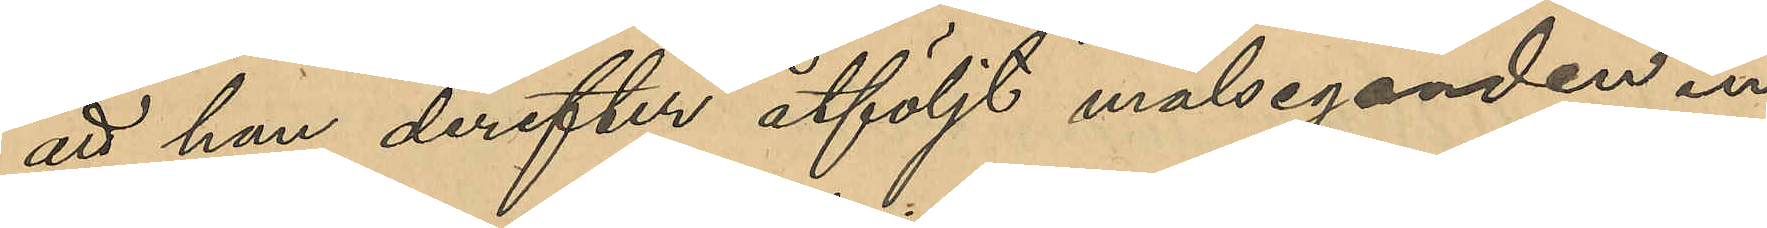att han derefter åtföljt målseganden in
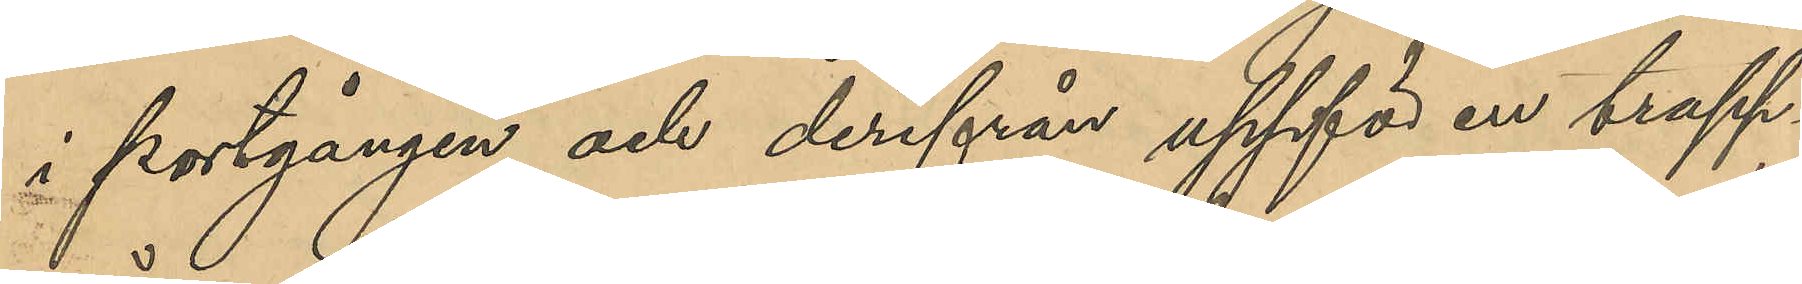i portgången och derifrån uppför en trapp¬
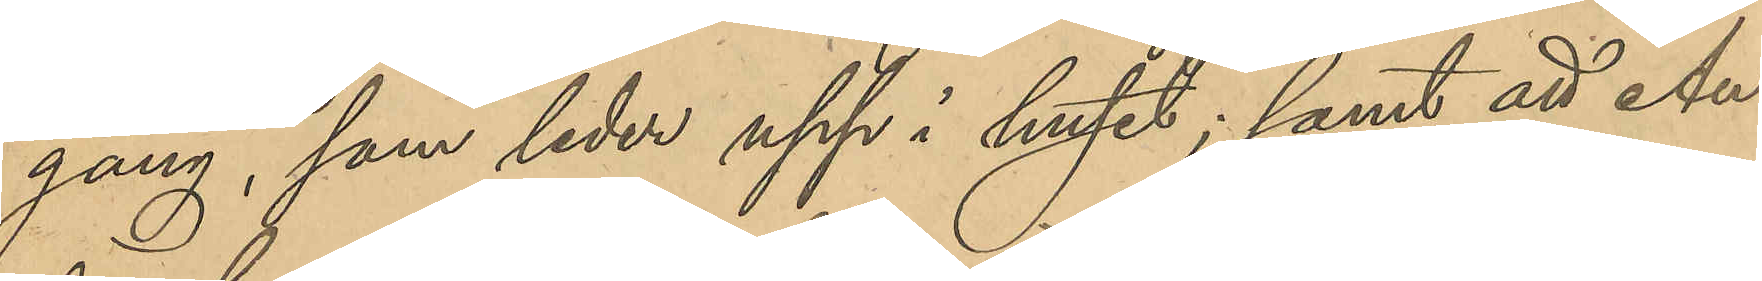gång, som leder upp i huset; samt att An¬
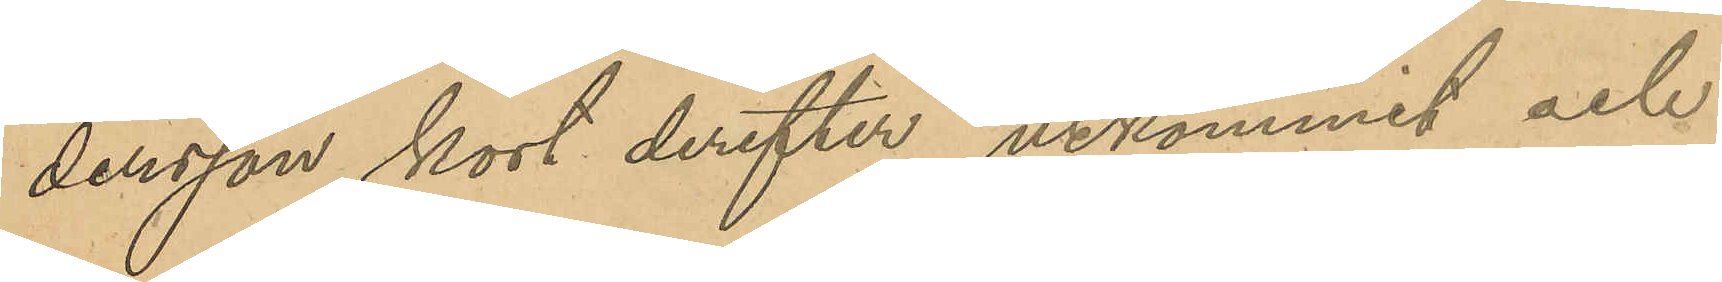dersson kort derefter utkommit och
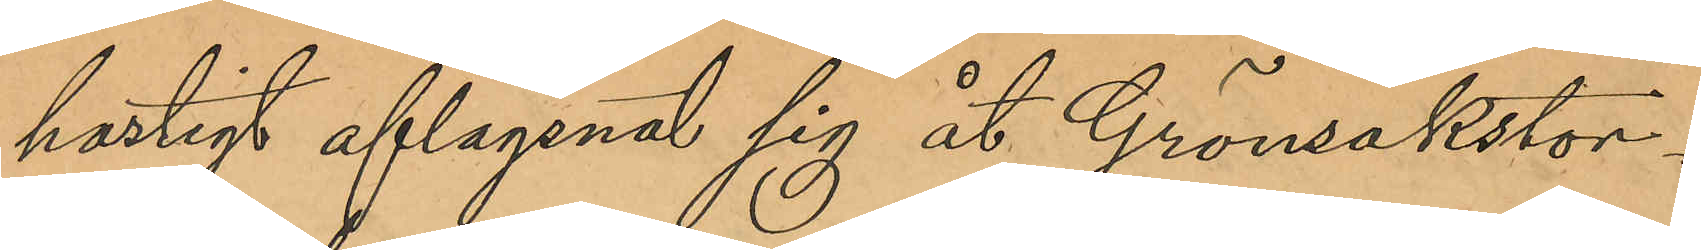hastigt aflägsnat sig åt Grönsakstor¬
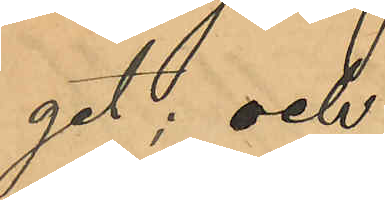get; och
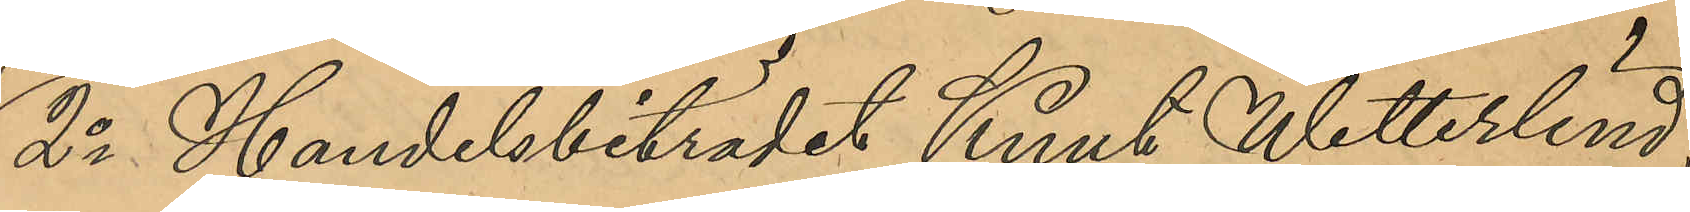2o Handelsbiträdet Knut Wetterlind,
